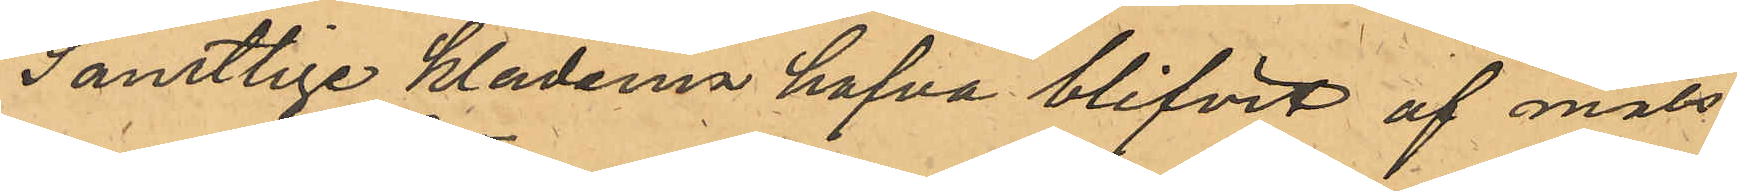Samtlige kläderna hafva blifvit af måls¬
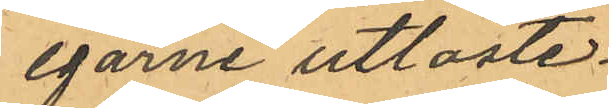egarne utlöste.
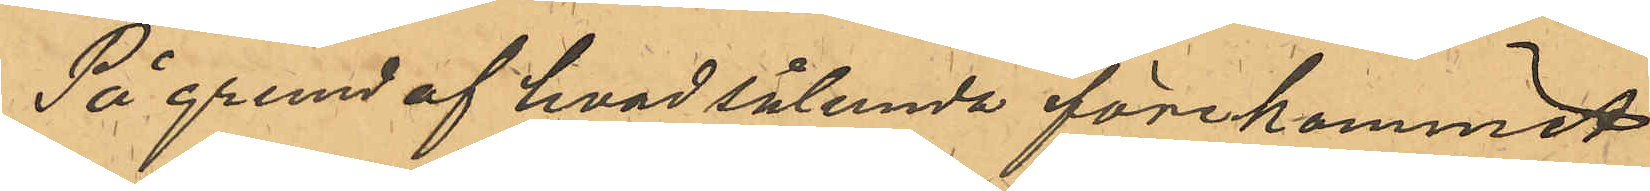På grund af hvad sålunda förekommit
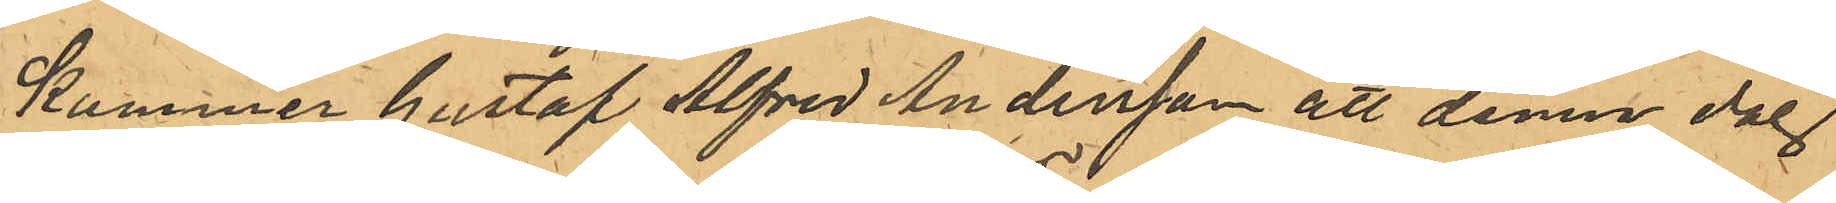kommer Gustaf Alfred Andersson att denna dag
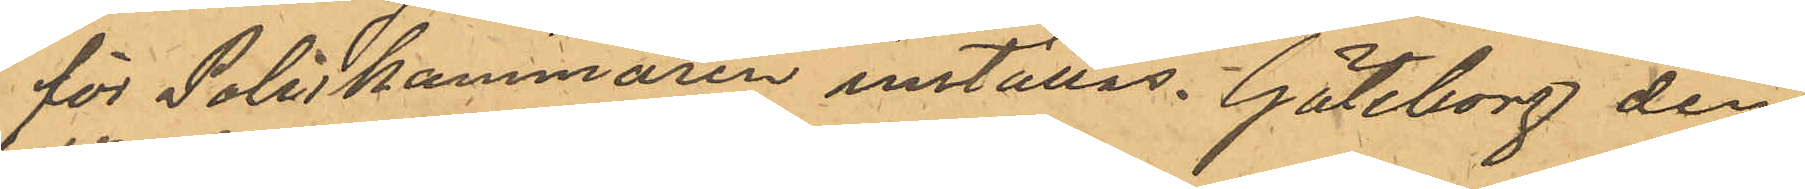för Poliskammaren inställas. Göteborg den
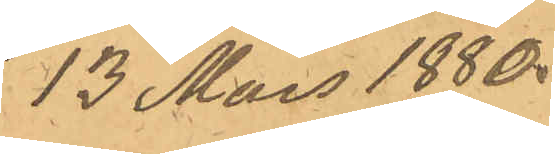13 Mars 1880.
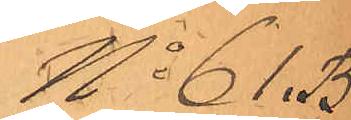No 61 B.
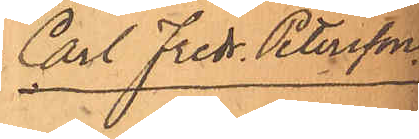Carl Fredr. Petersson.
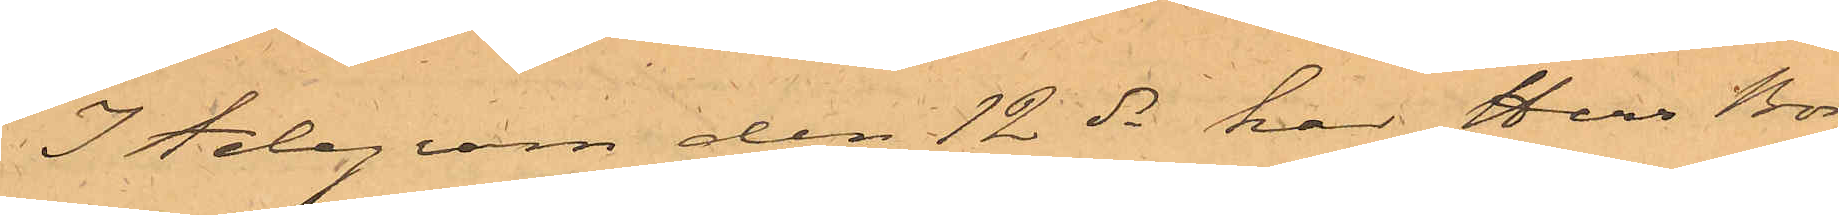I telegram den 12 ds har herr Borg¬
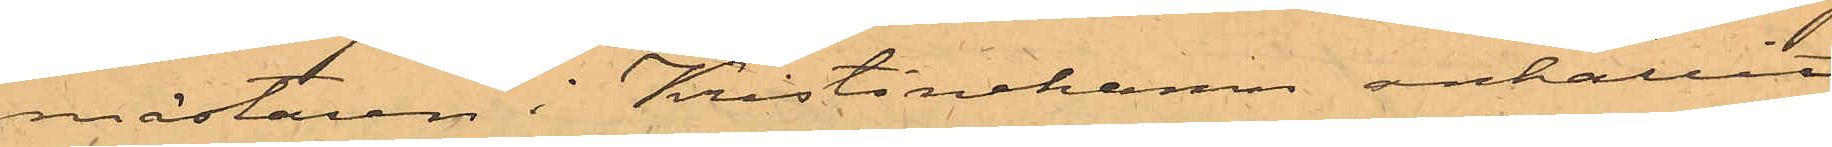mästaren i Kristinehamn anhållit
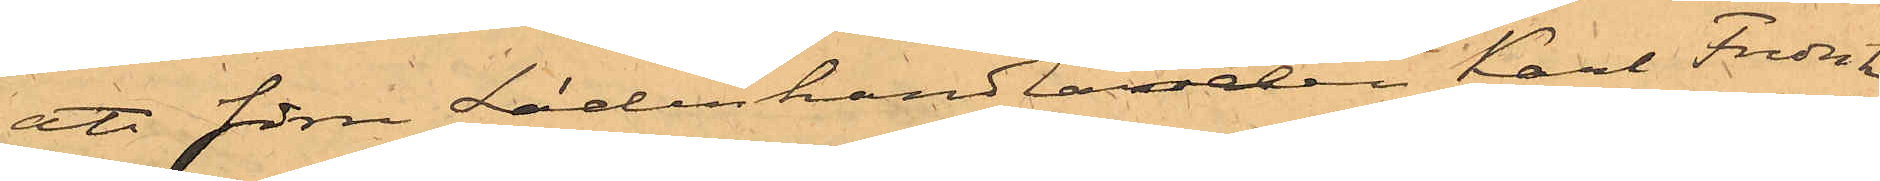att förre Läderhandlanden Karl Fredrik
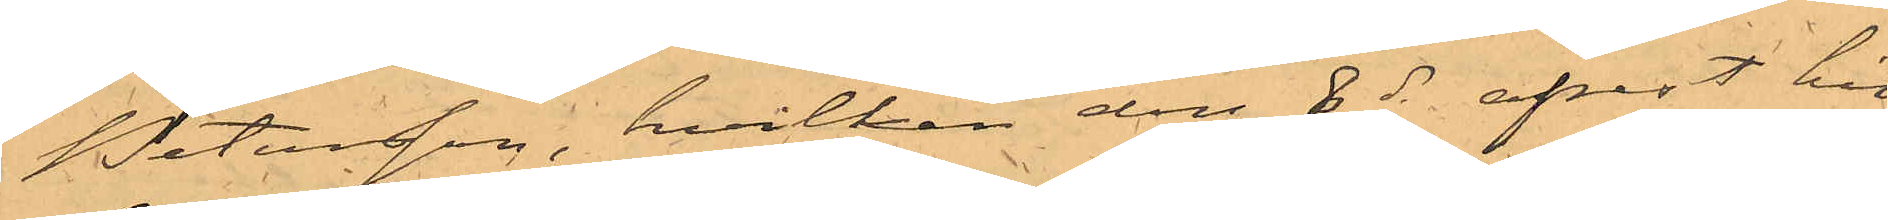Petersson, hvilken den 8 ds afrest hit 
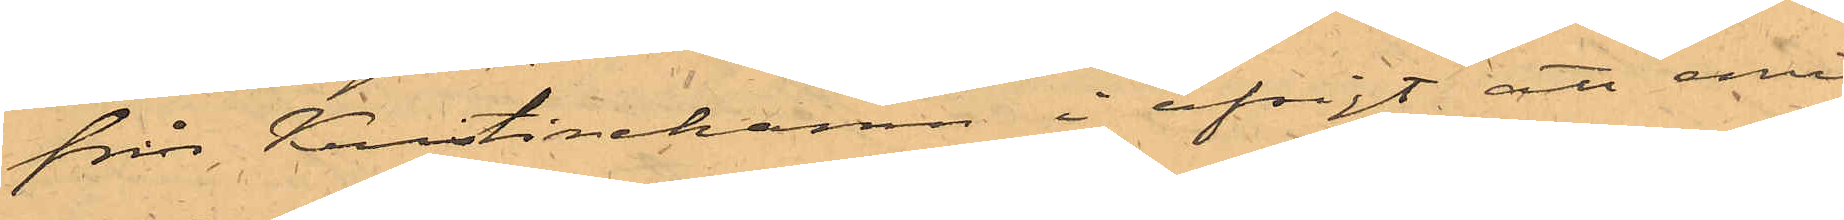från Kristinehamn i afsigt att emi¬
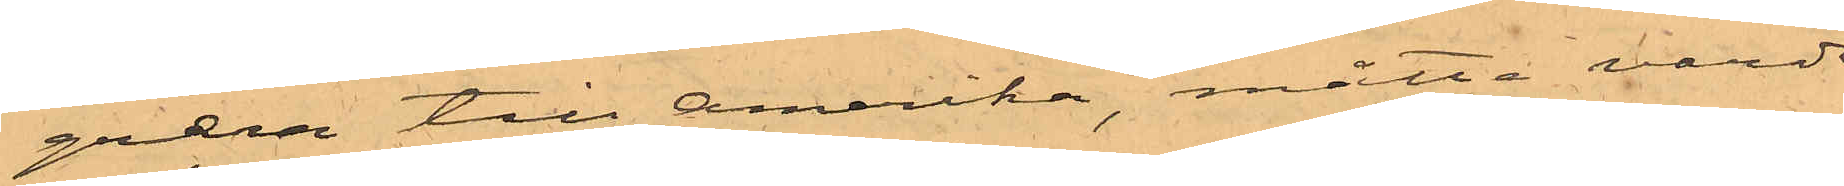grera till Amerika, måtte varda
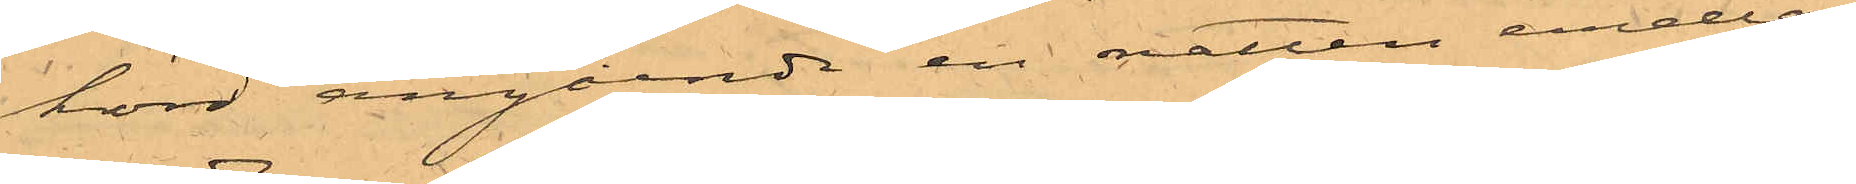hörd angående en natten emellan
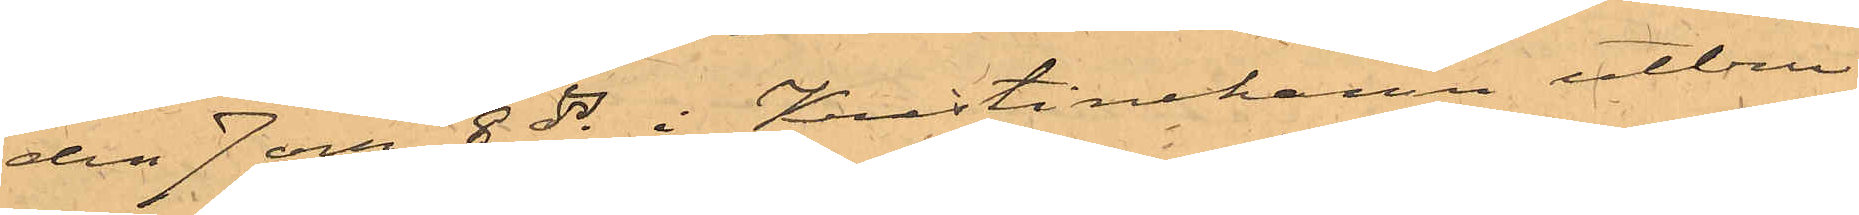den 7 och 8 ds i Kristinehamn utbru¬
